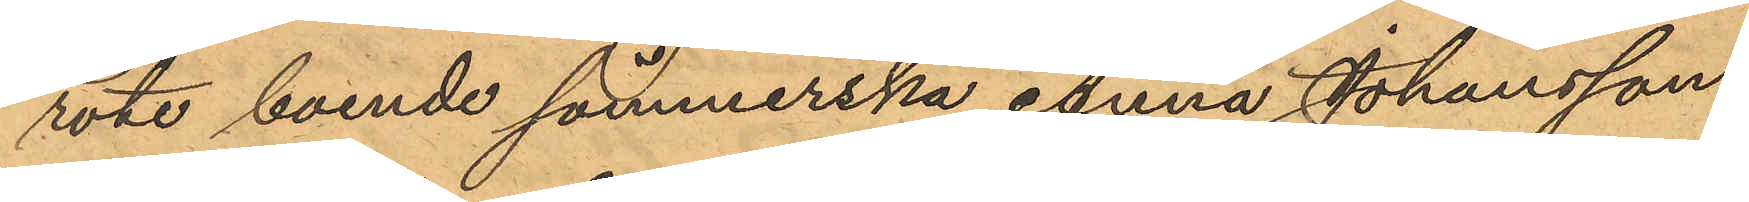rote boende sömmerska Anna Johansson,
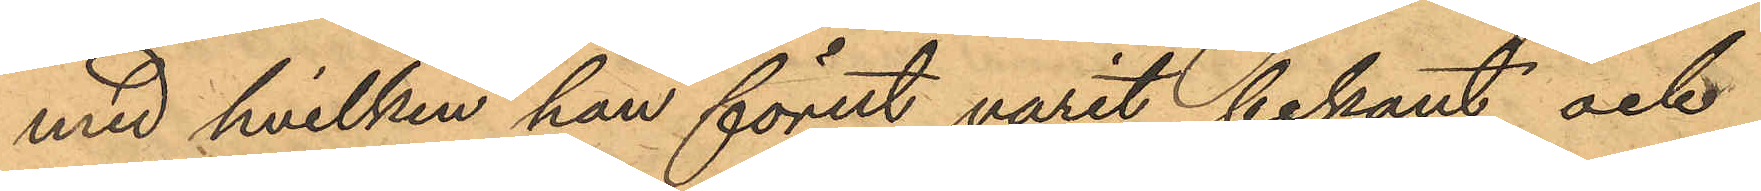med hvilken han förut varit bekant och
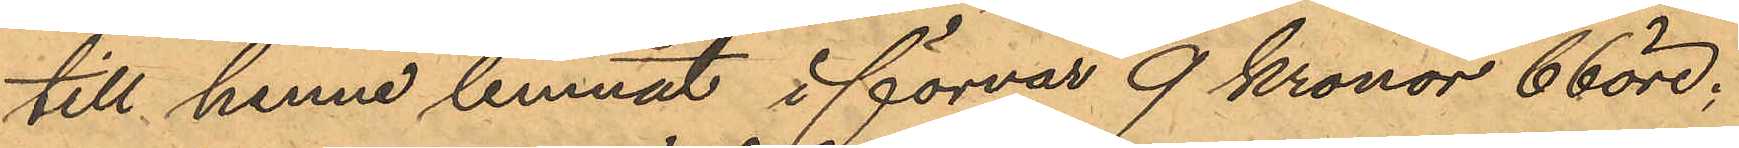till henne lemnat i förvar 9 Kronor 66 öre;
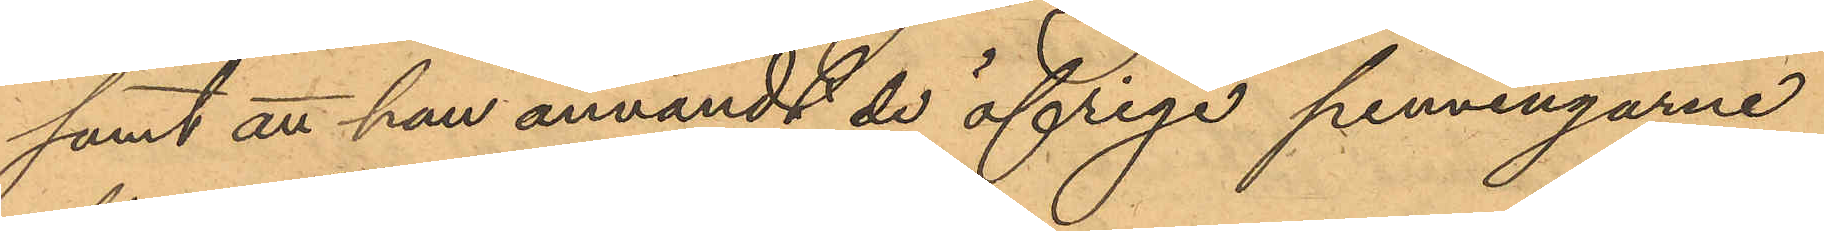samt att han användt de öfriga penningarne
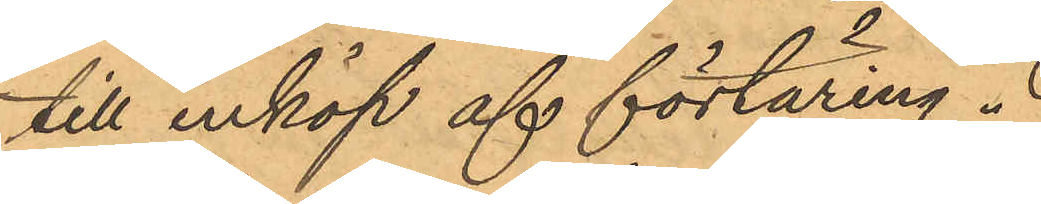till inköp af förtäring.
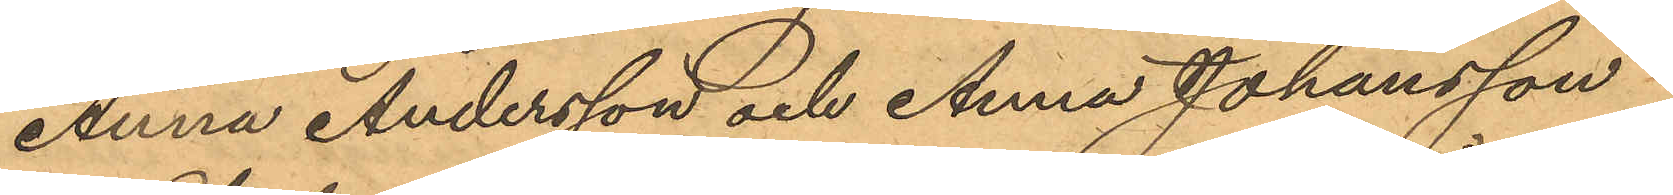Anna Andersson och Anna Johansson
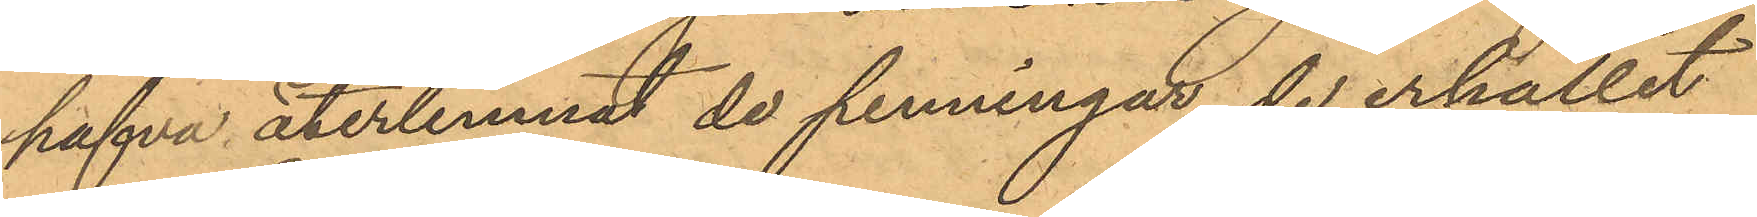hafva återlemnat de penningar de erhållit
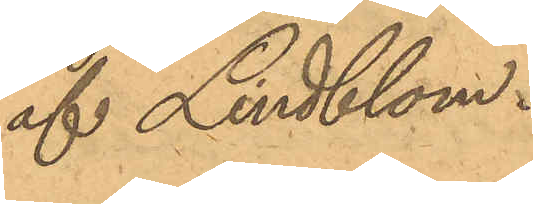af Lindblom.
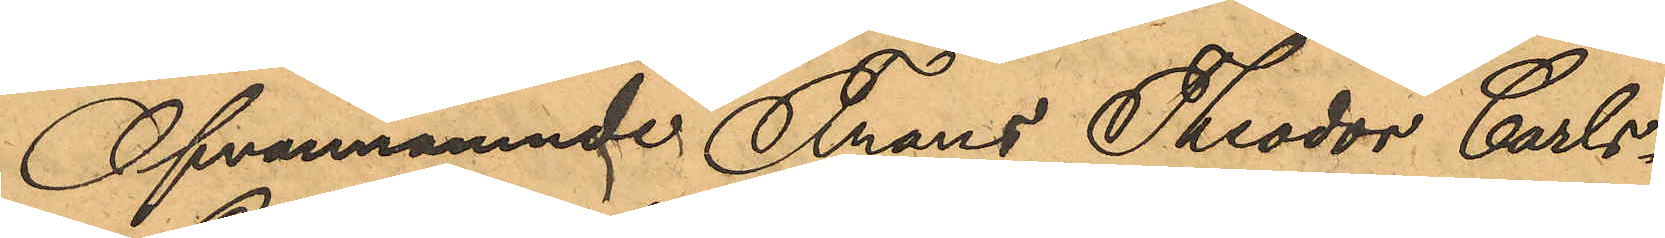Ofvannämnde Frans Theodor Carls¬
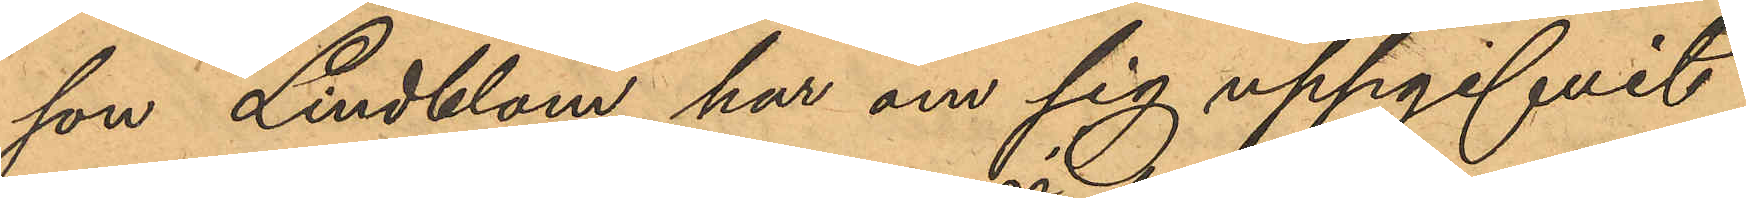son Lindblom har om sig uppgifvit
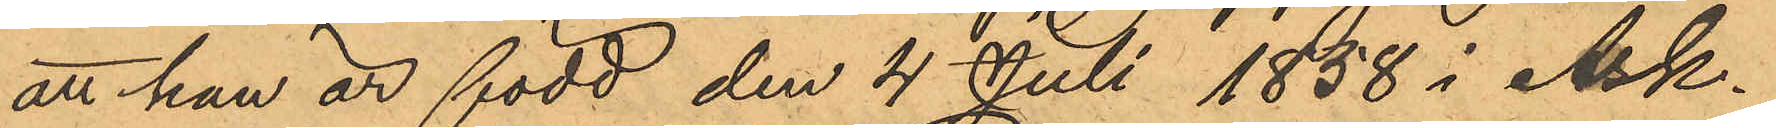att han är född den 4 Juli 1858 i Ask¬
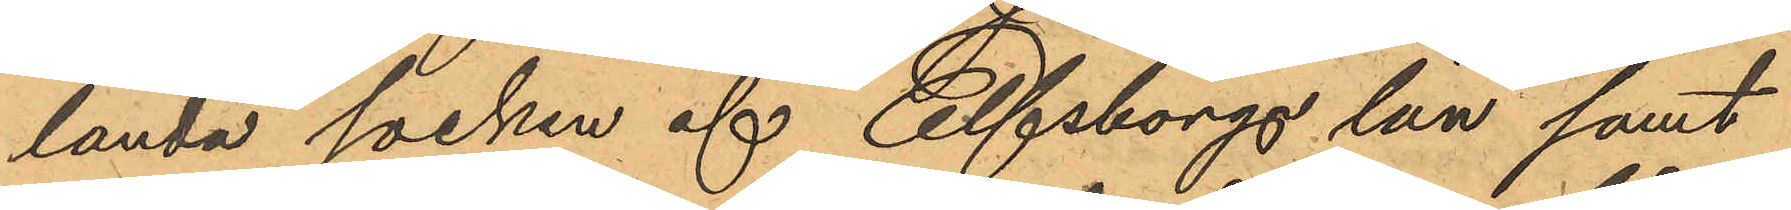landa socken af Elfsborgs län samt
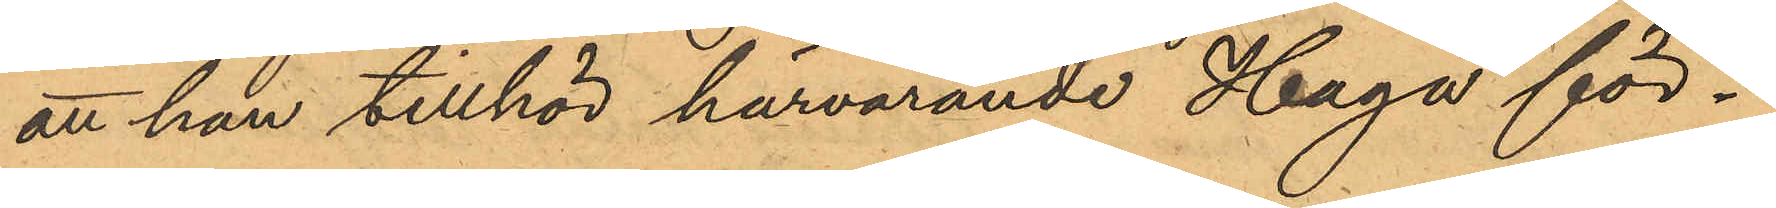att han tillhör härvarande Haga för¬
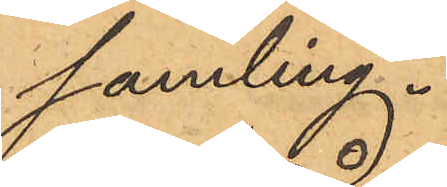samling.
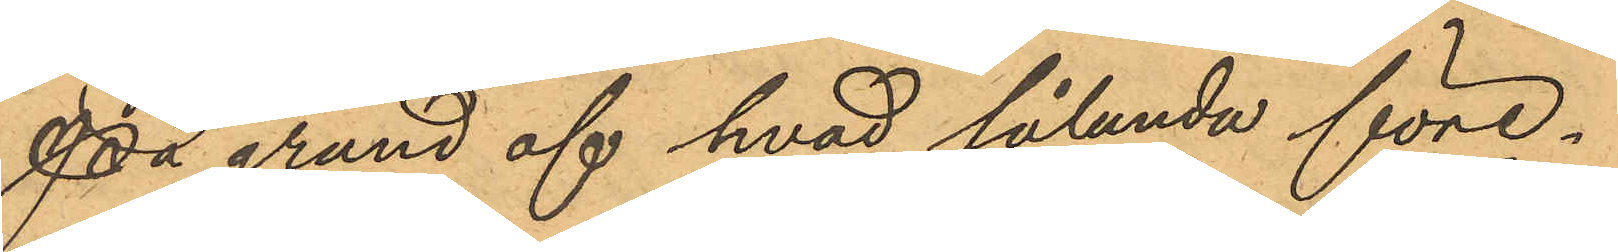På grund af hvad sålunda före¬
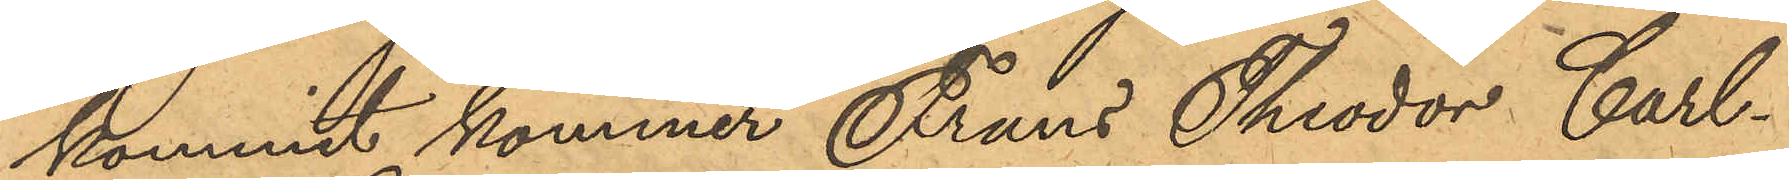kommit kommer Frans Theodor Carl¬
